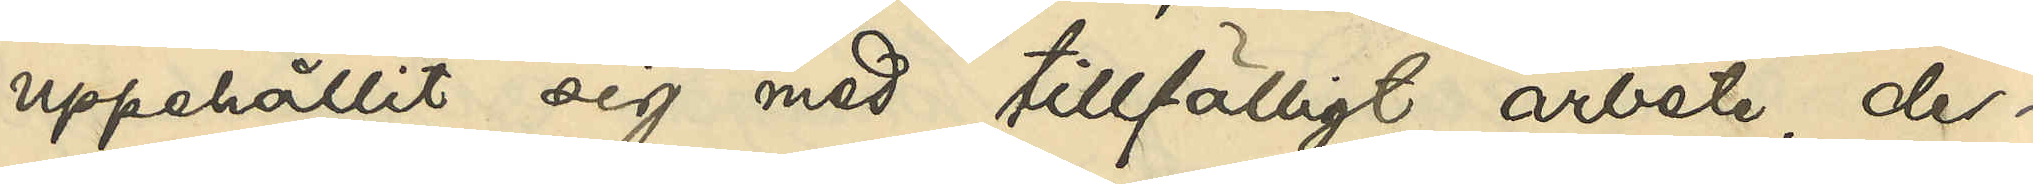uppehållit sig med tillfälligt arbete, der¬
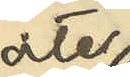åter
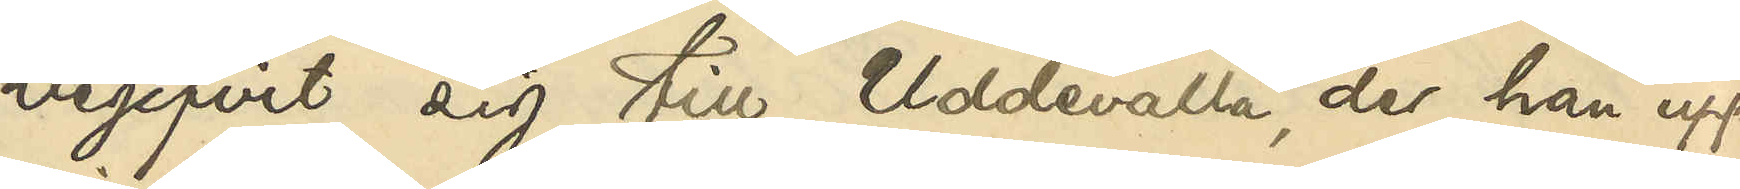begifvit sig till Uddevalla, der han upp¬
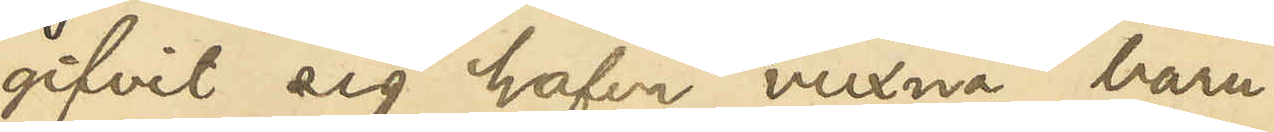gifvit sig hafva vuxna barn.
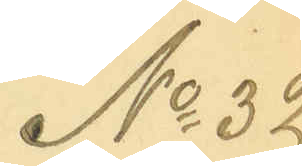No 32
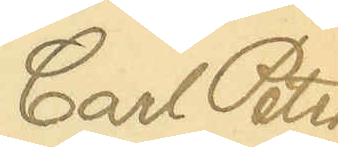Carl Peter
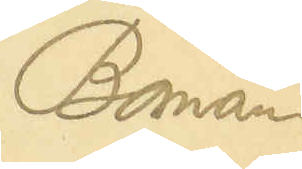Boman
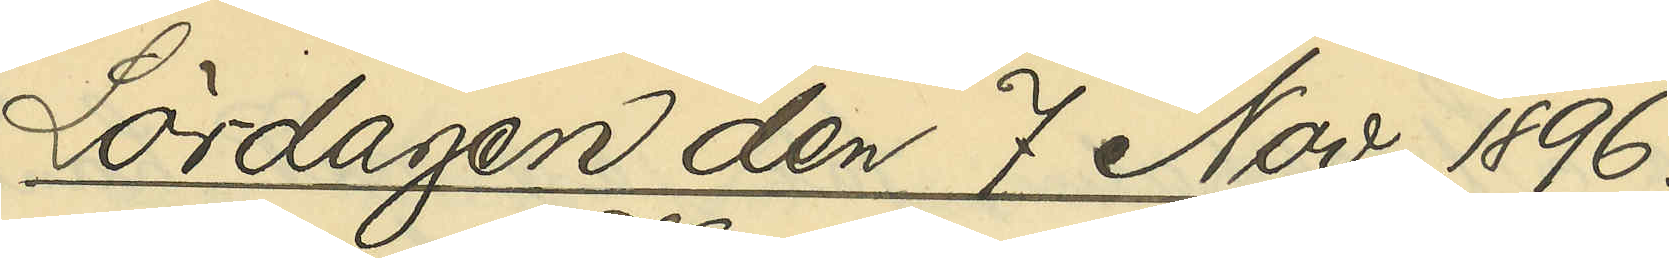Lördagen den 7 Nov. 1896.
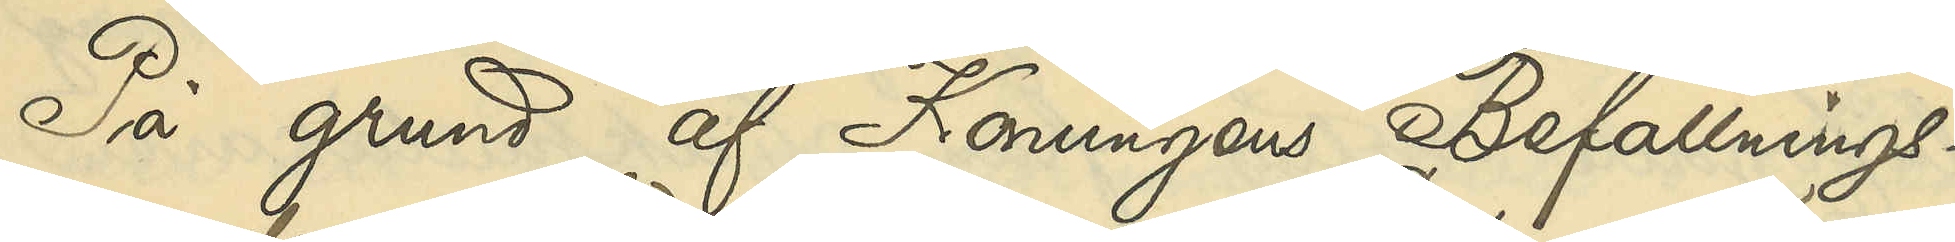På grund af Konungens Befallnings¬
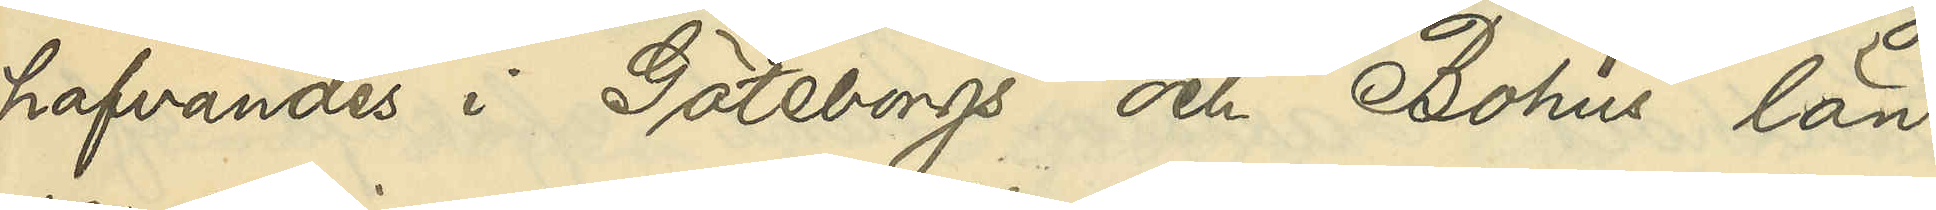hafvandes i Göteborgs och Bohus län
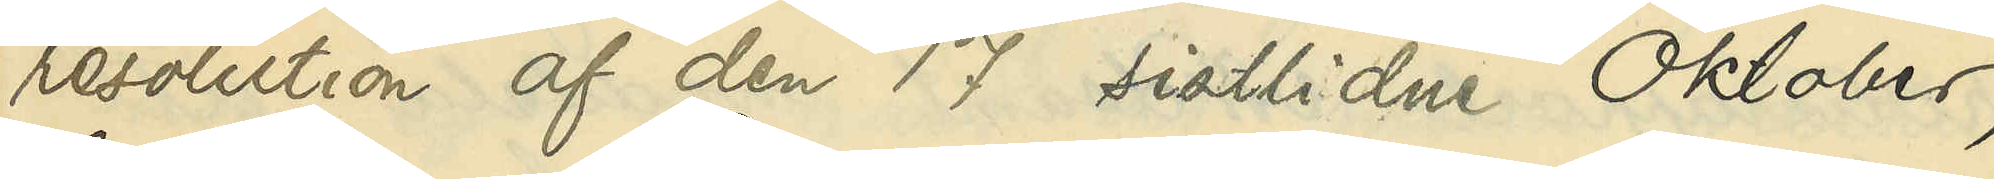resolution af den 17 sistlidne Oktober,
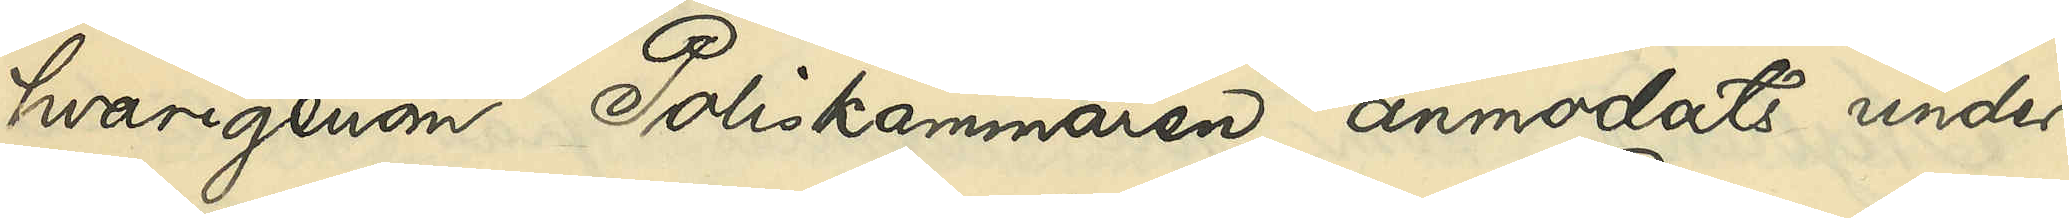hvarigenom Poliskammaren anmodats under¬
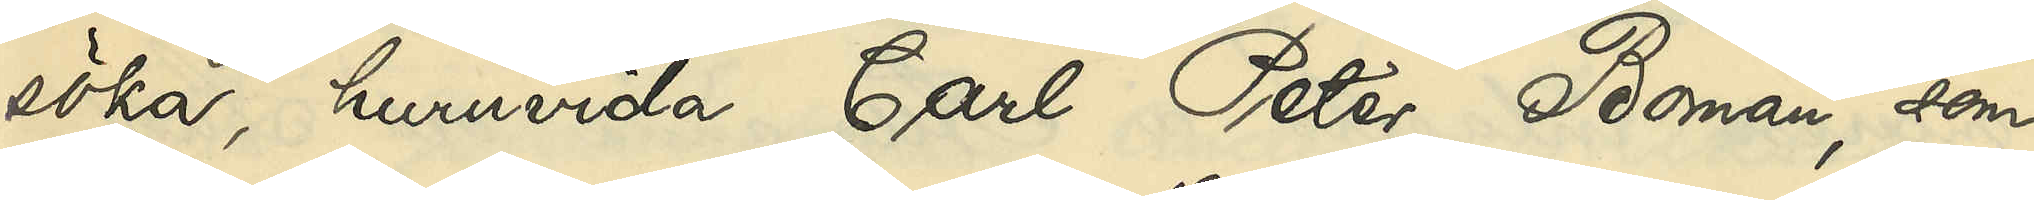söka, huruvida Carl Peter Boman, som
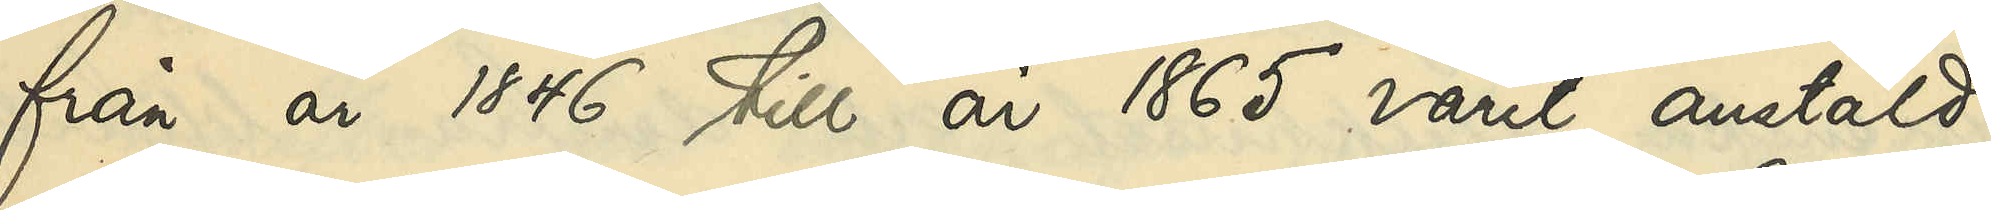från år 1846 till år 1865 varit anstäld
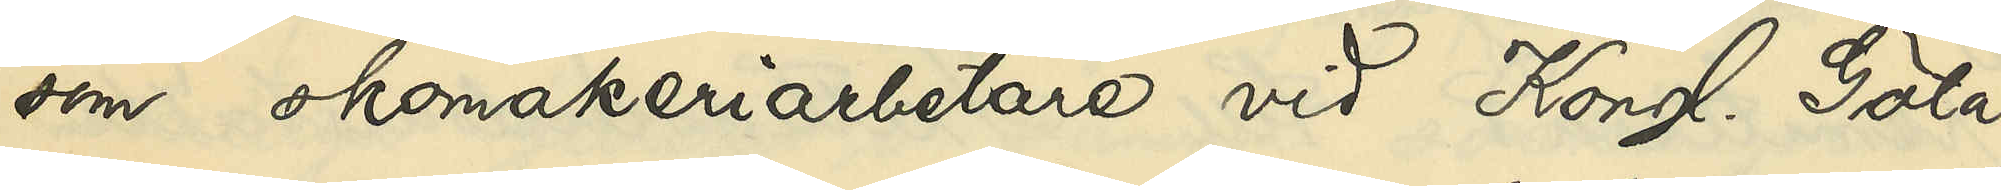som skomakeriarbetare vid Kongl. Göta
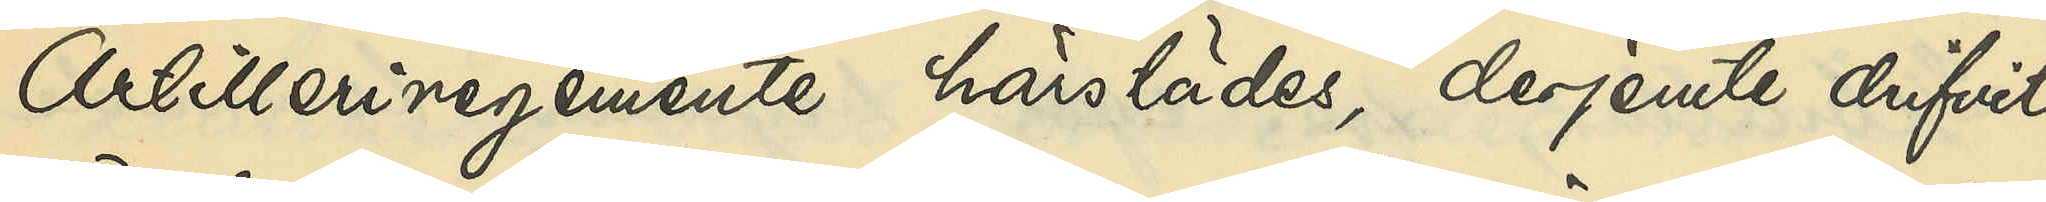Artilleriregemente härstädes, derjemte drifvit
